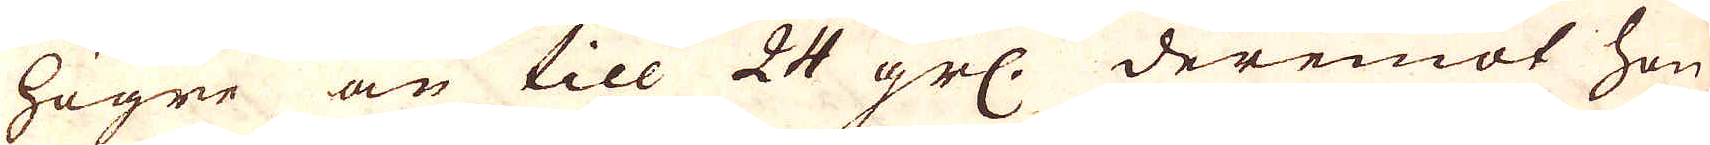högre än till 24 grs. deremot hon
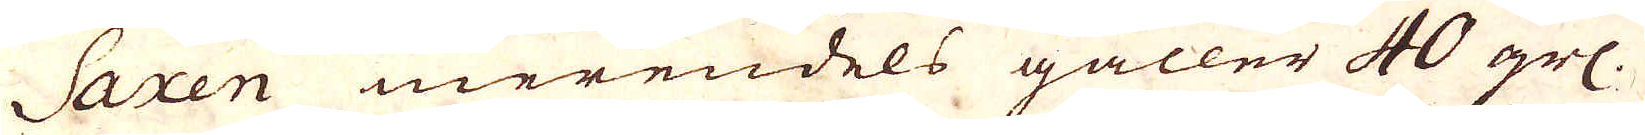Saxen merendels gäller 40 grs.
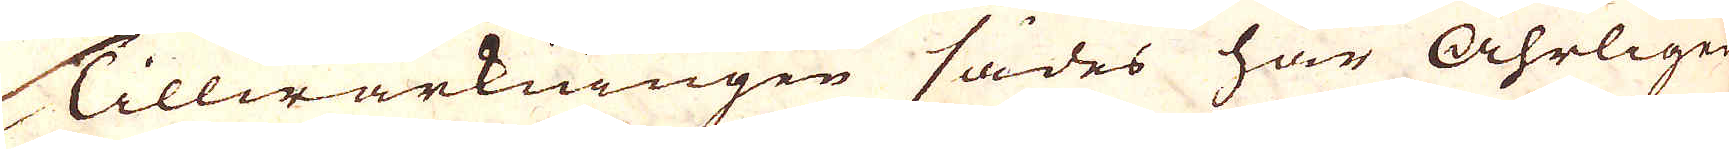Tillwärkningen sades här Åhrligen
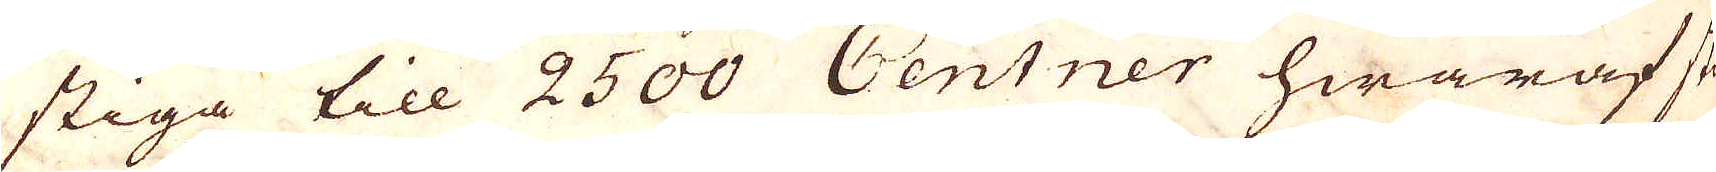stiga till 2500 Centner hwaraf stör-
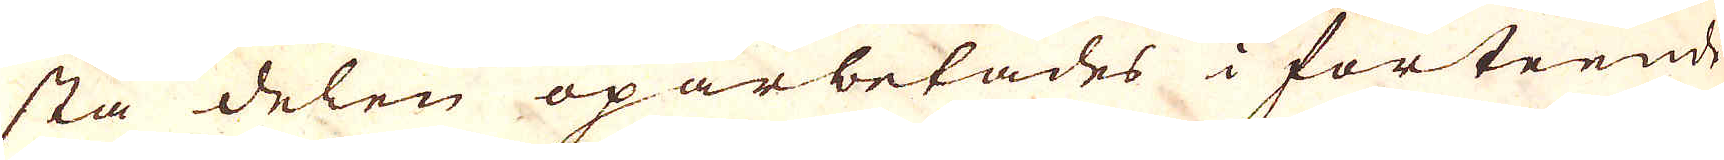sta delen oparbetades i förteende
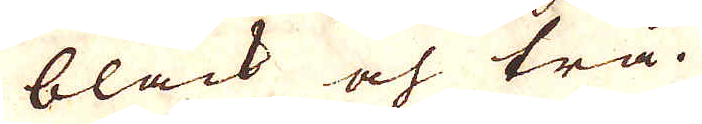bläck och trä.
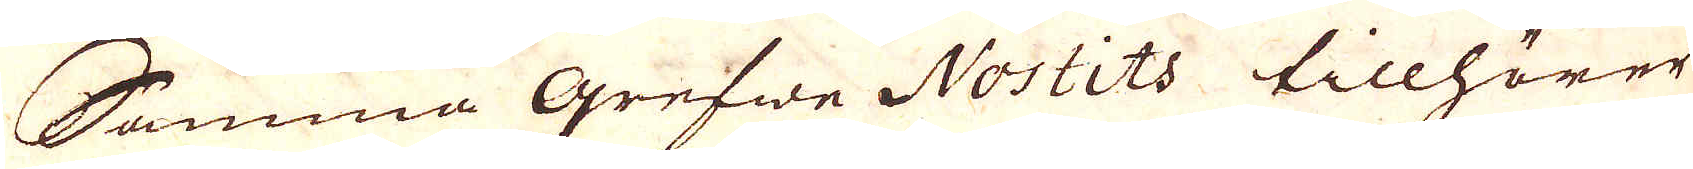Samma grefwe Nostits tillhörer
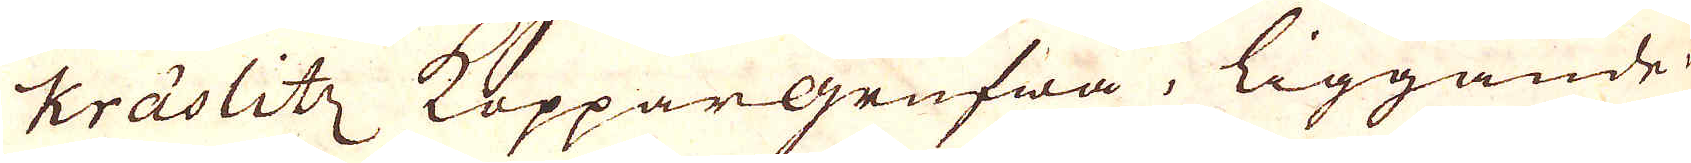Kräslitz Koppar grufwa, liggande
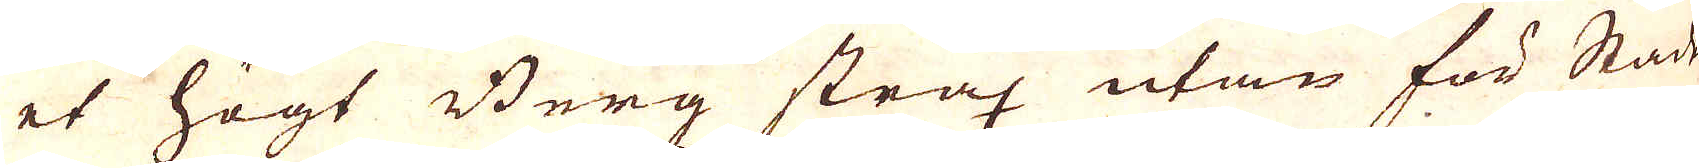et högt Berg strax utan för Staden
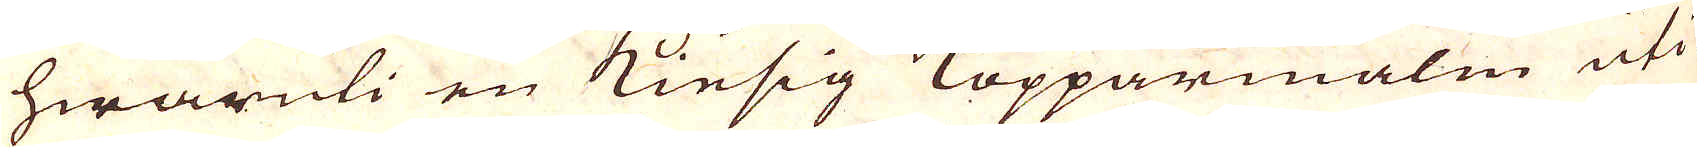hwaruti en Kiesig Kopparmalm uti
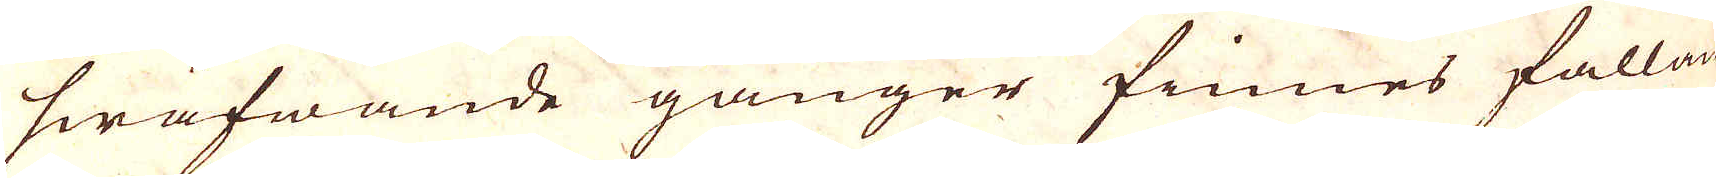swäfwande gånger finnes fallande
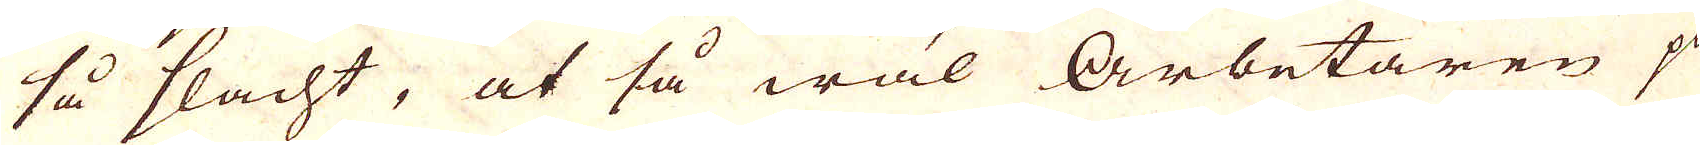så flacht, at så wäl Arbetaren på
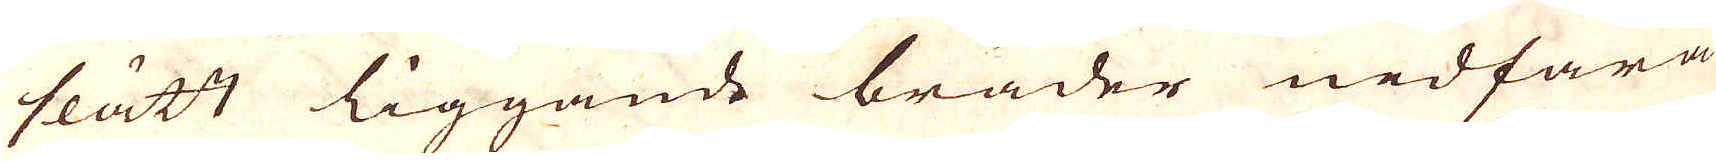slätt liggande bräder nedfara,
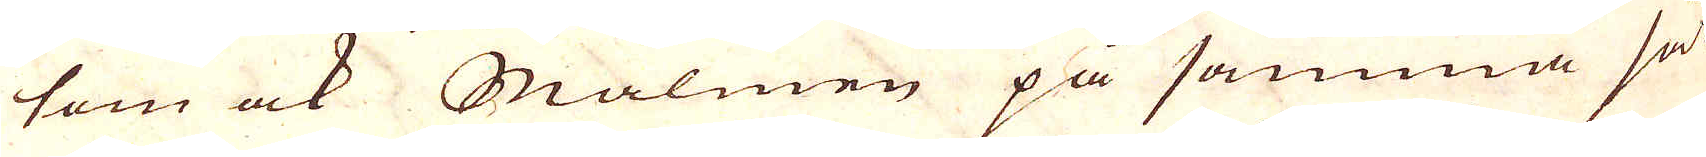som ock Malmen på samma sätt
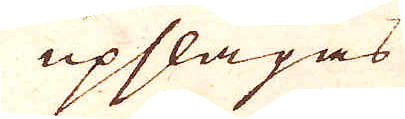upsläpas
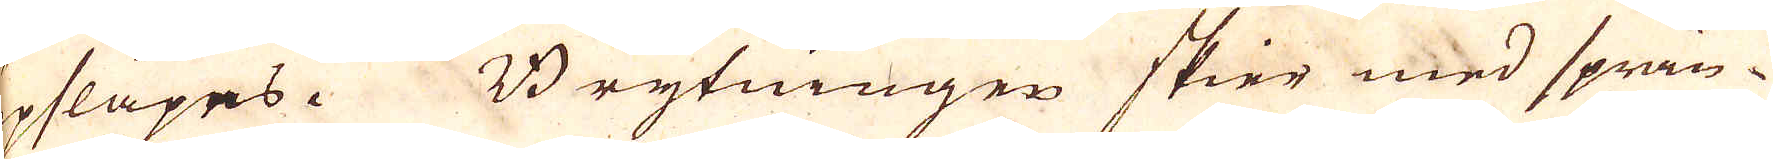upsläpes. Brytningen skier med sprän-
